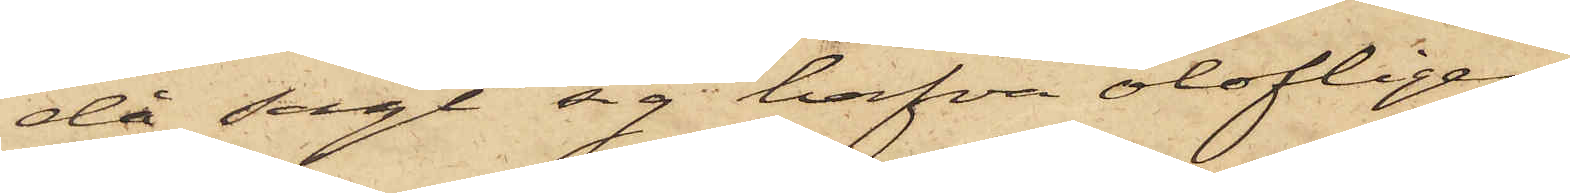då sagt sig hafva olofligen
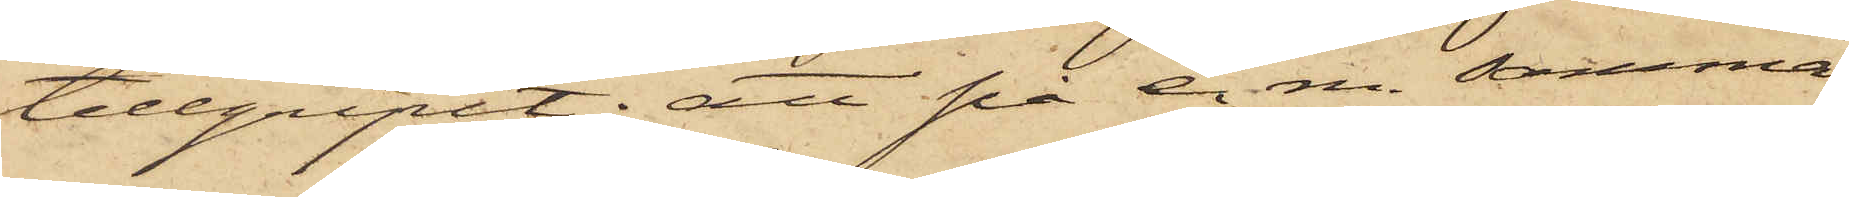tillgripit; att på e m. samma
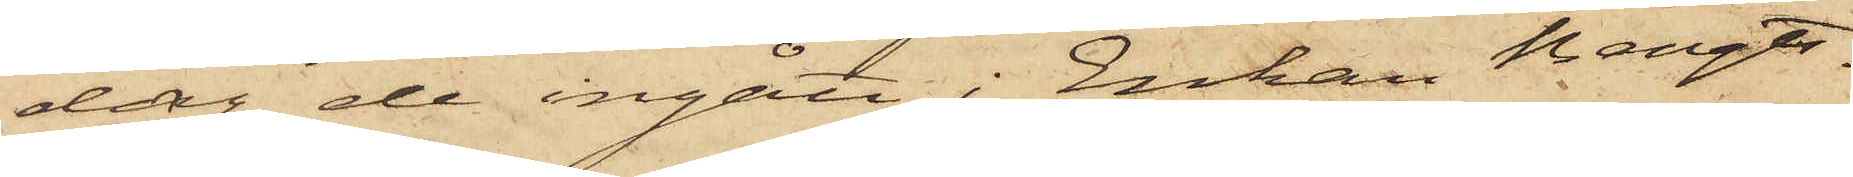dag de ingått i Enkan Bengts¬
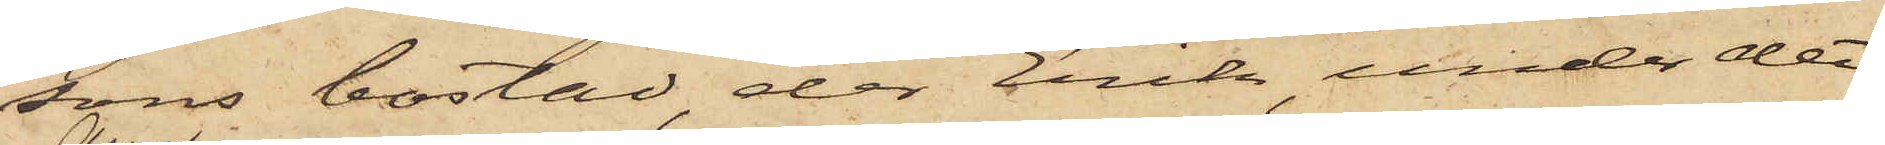sons bostad, der Erik, under det
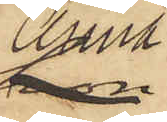Anna
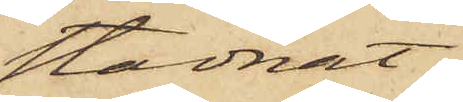stadnat
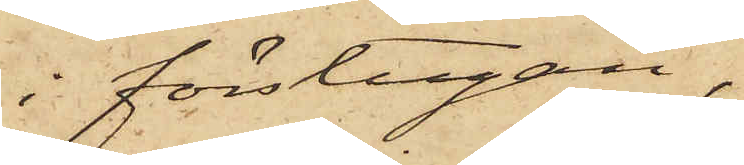i förstugan,
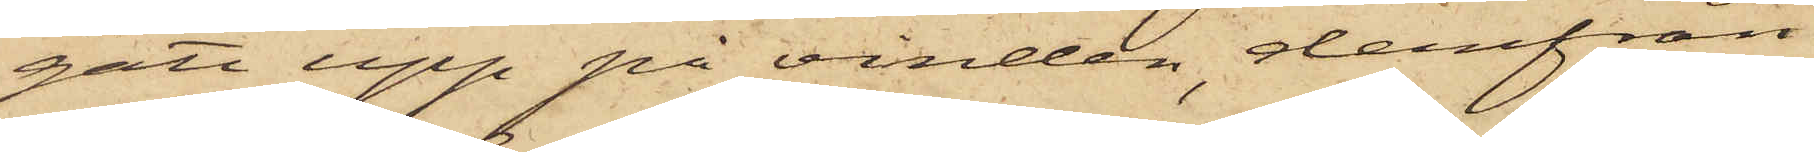gått upp på vinden, derifrån
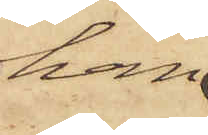han
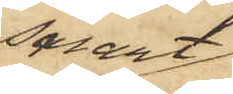snart
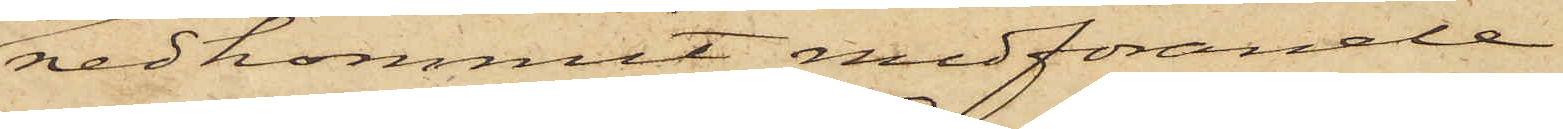nedkommit medförande
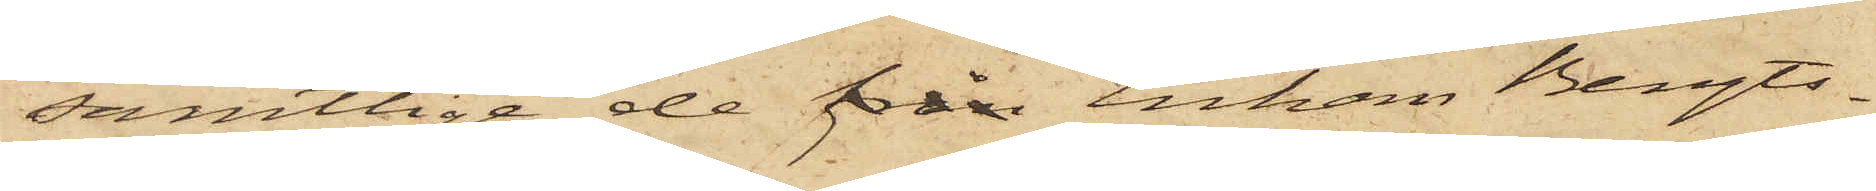samtlige de från Enkan Bengts¬
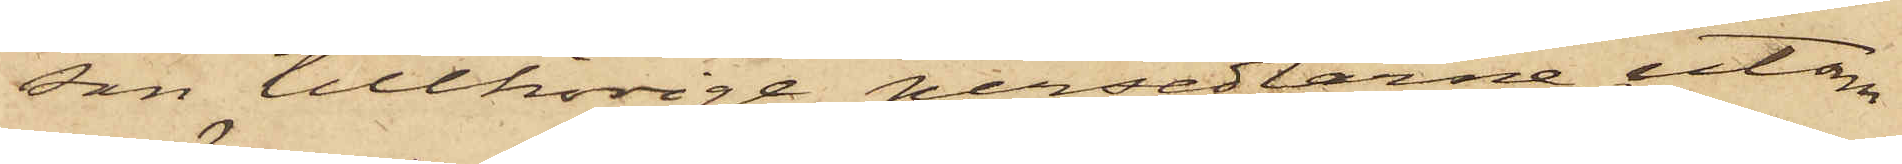son tillhörige persedlarne, utom
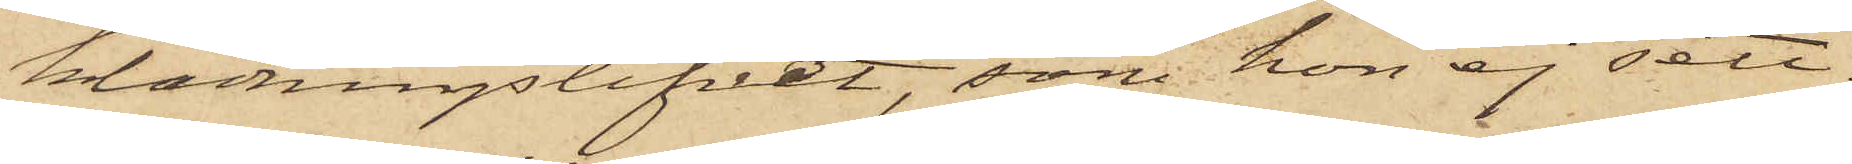klädningslifvet, som hon ej sett,
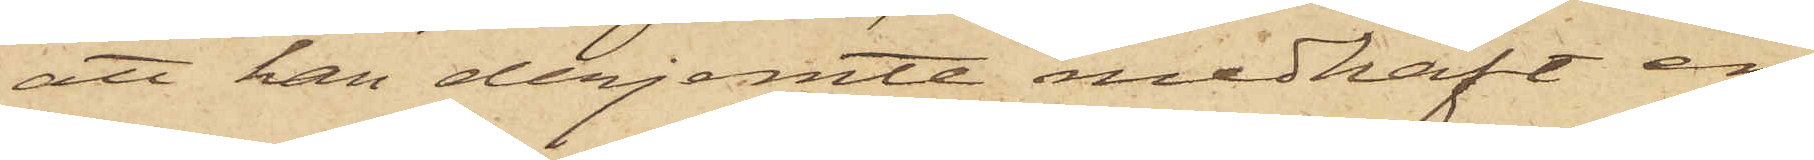att han derjemte medhaft en
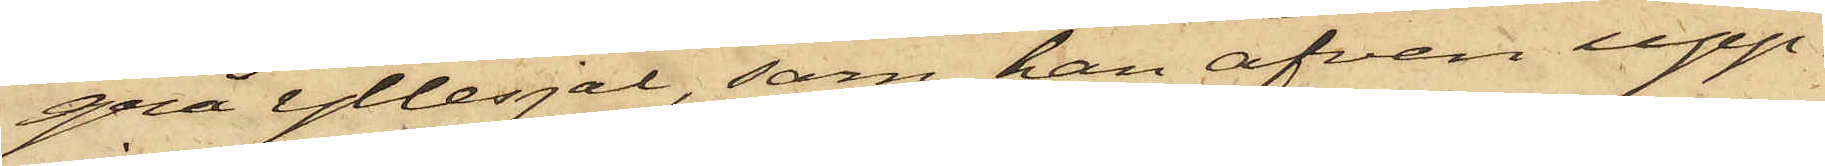grå yllesjal, som han äfven upp¬
